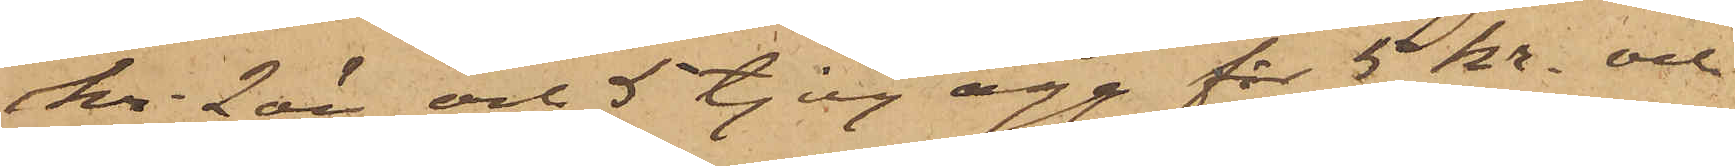kr. 2 öre och 5 tjog ägg för 5 kr. och
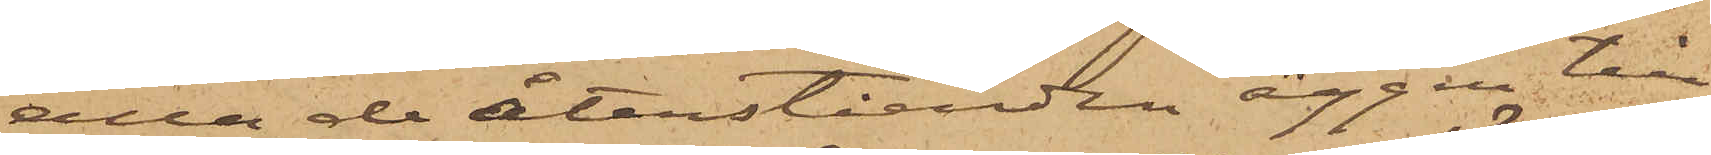alla de återståenden äggen till
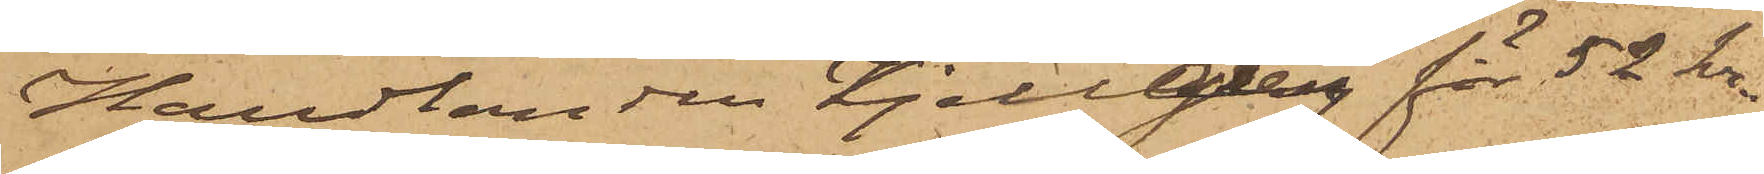Handlanden Kjellberg för 52 kr.
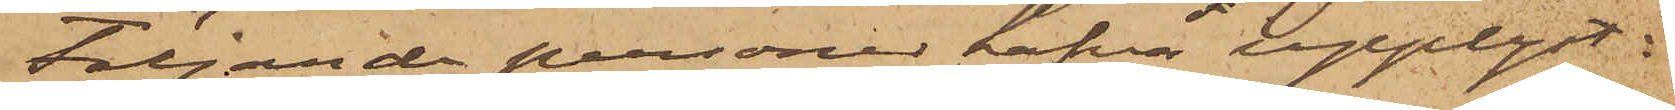Följande personer hafva upplyst:
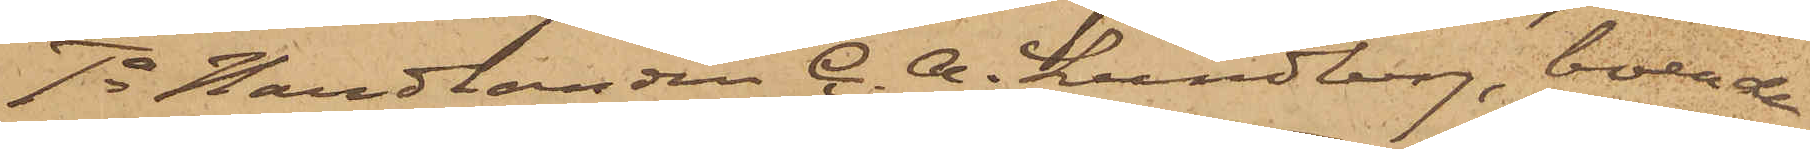1o Handlanden C. A. Lundberg, boende
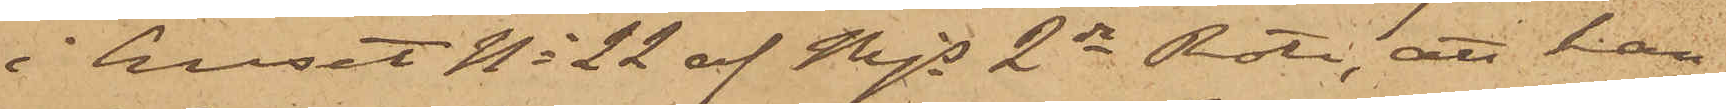i huset No 22 af Mjs 2dra Rote, att han
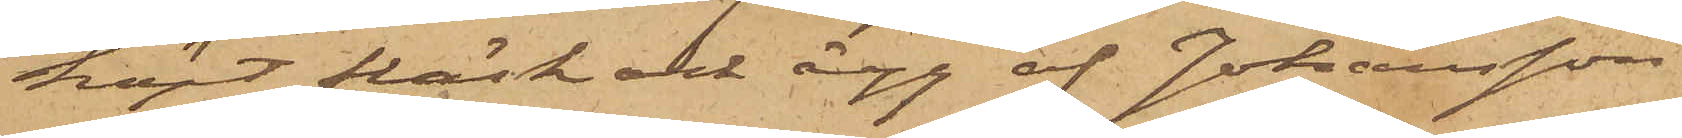köpt fläsk och ägg af Johansson
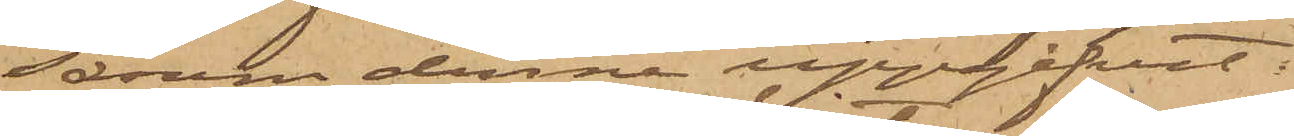såsom denne uppgifvit.
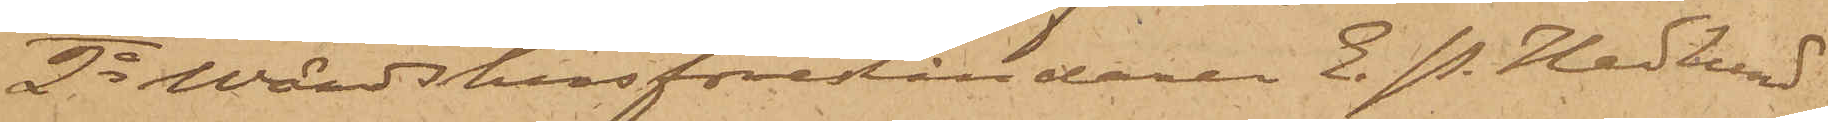2o Wärdshusföreståndaren E. P. Hedlund
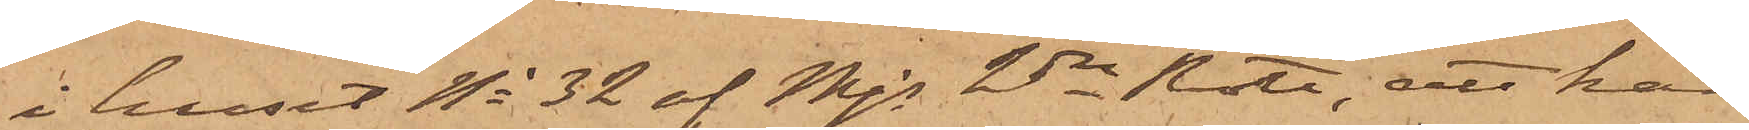i huset No 32 af Mjs 2dra Rote, att han
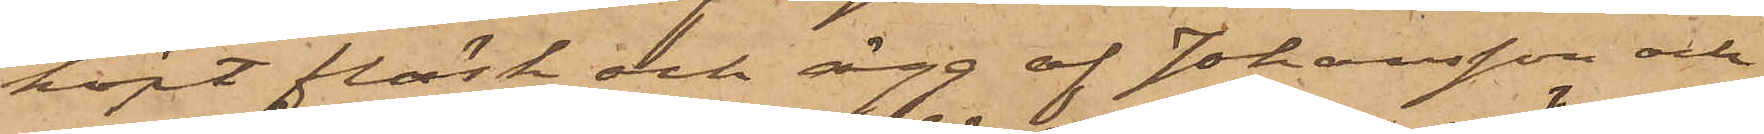köpt fläsk och ägg af Johansson och
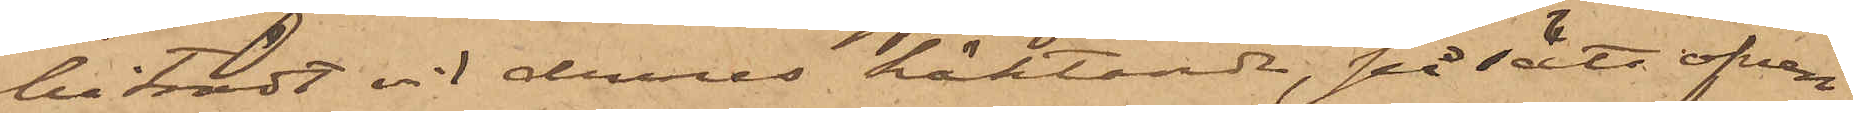biträdt vid dennes häktande, på sätt ofvan
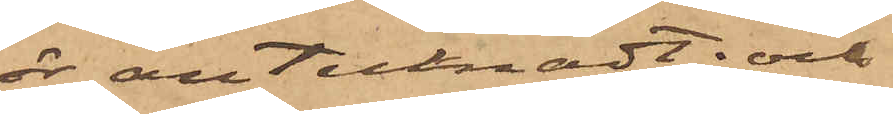är antecknadt; och
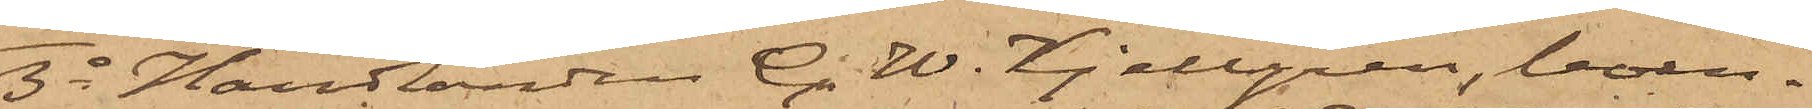3o Handlanden C. W. Kjellgren, boen¬
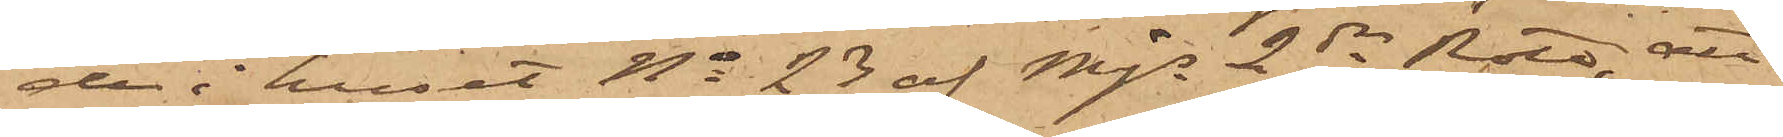de i huset No 23 af Mjs 2dra Rote, att
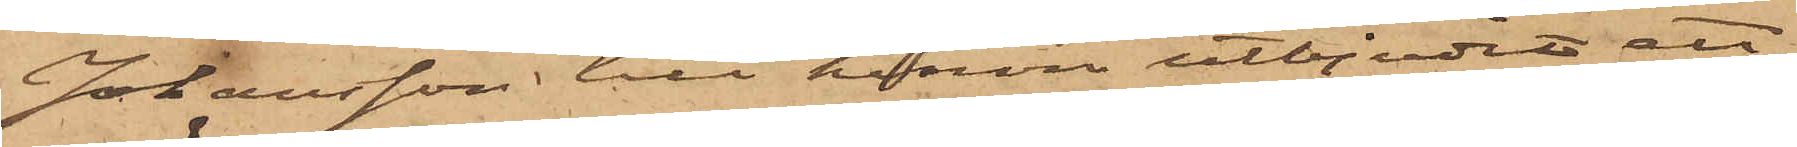Johansson till honom utbjudit ett
